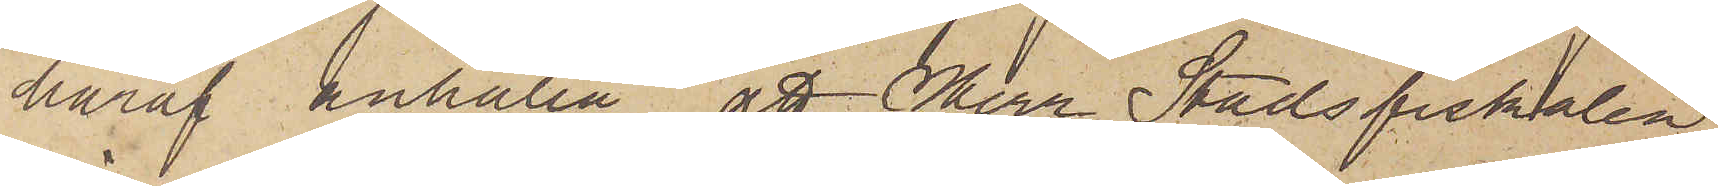häraf anhålla, att Herr Stadsfiskalen
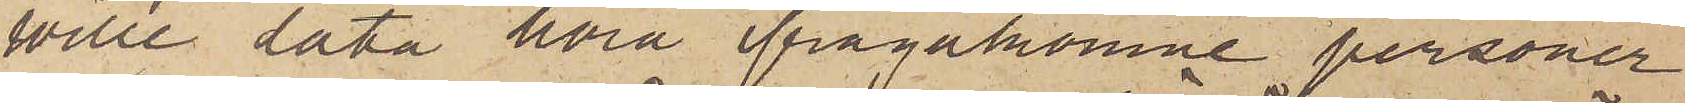ville låta höra ifrågakomne personer
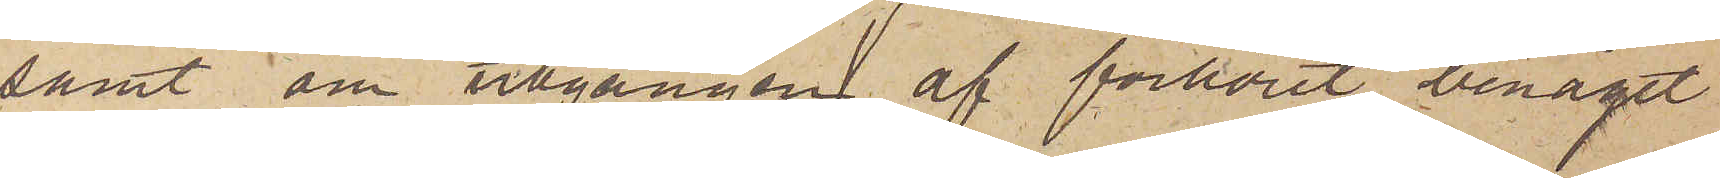samt om utgången af förhöret benäget
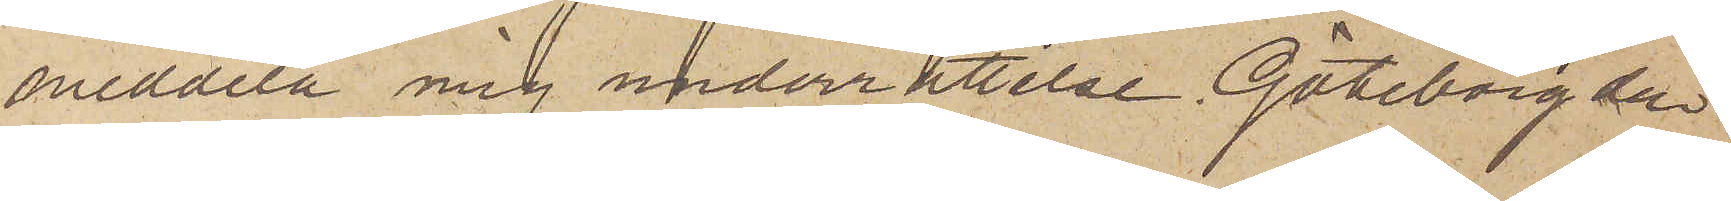meddela mig underrättelse. Göteborg den
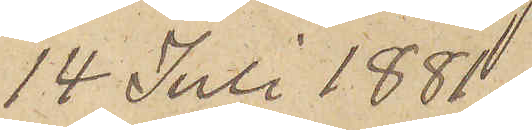14 Juli 1881.
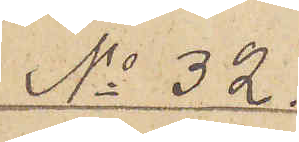No 32
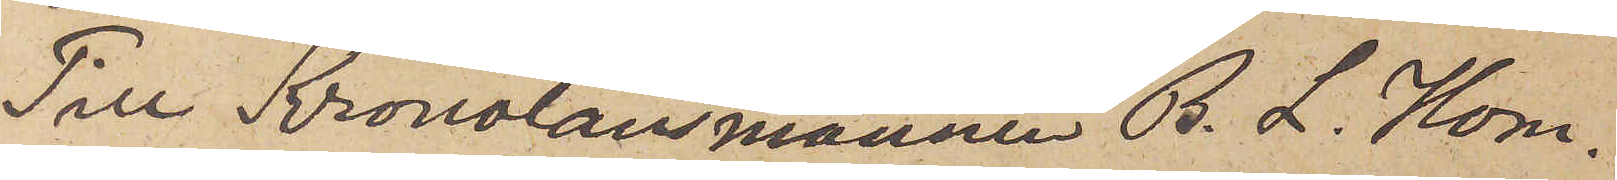Till Kronolänsmannen B. L. Hom¬
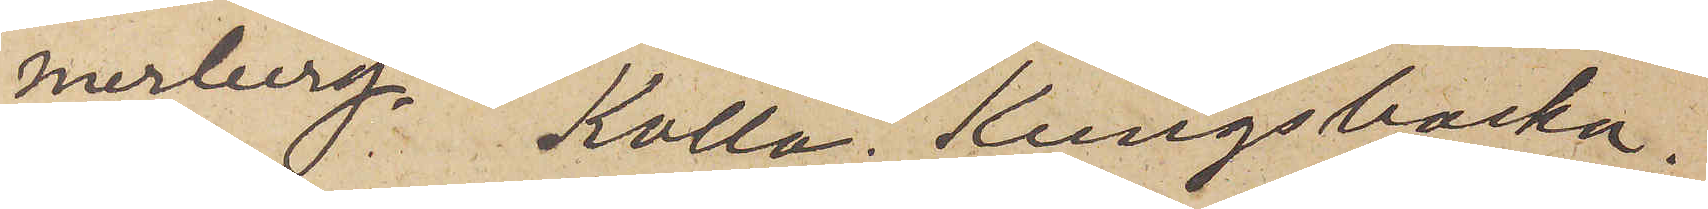merberg Kolla Kungsbacka,
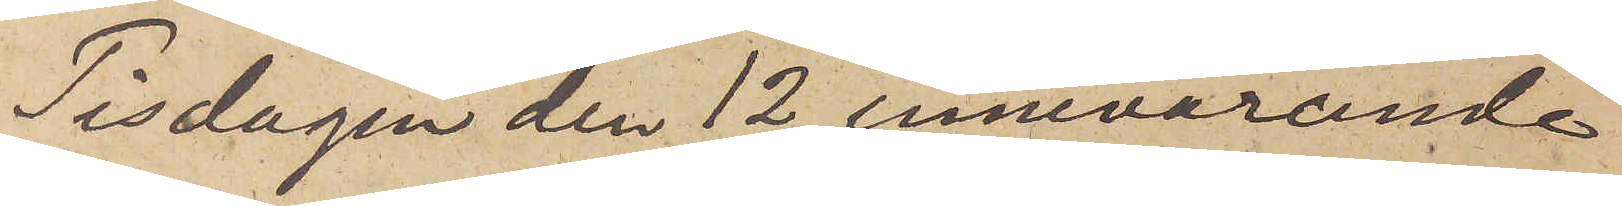Tisdagen den 12 innevarande
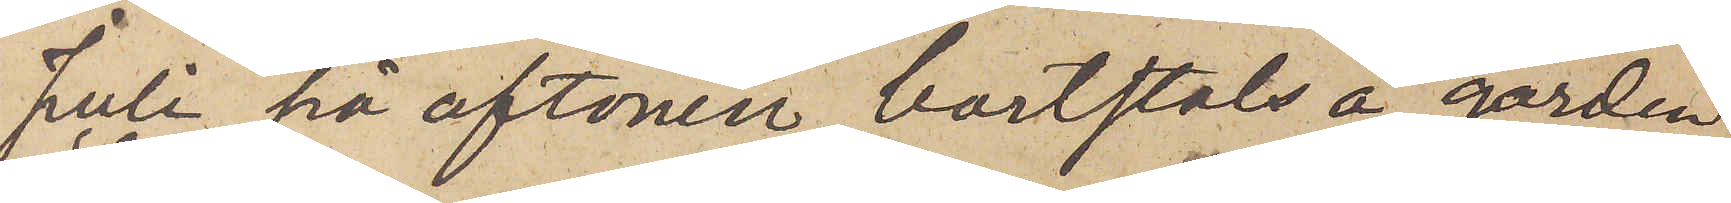Juli på aftonen bortstals å gården
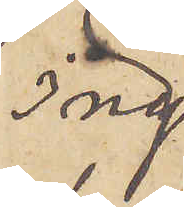Ing¬
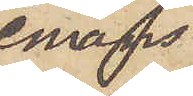emans¬
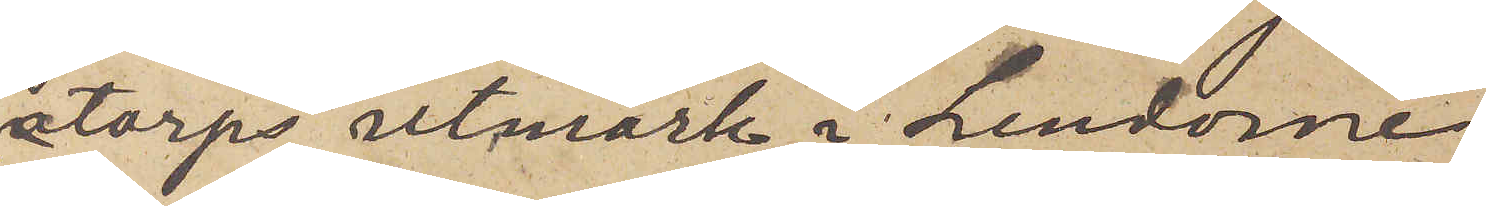torps utmark i Lindome
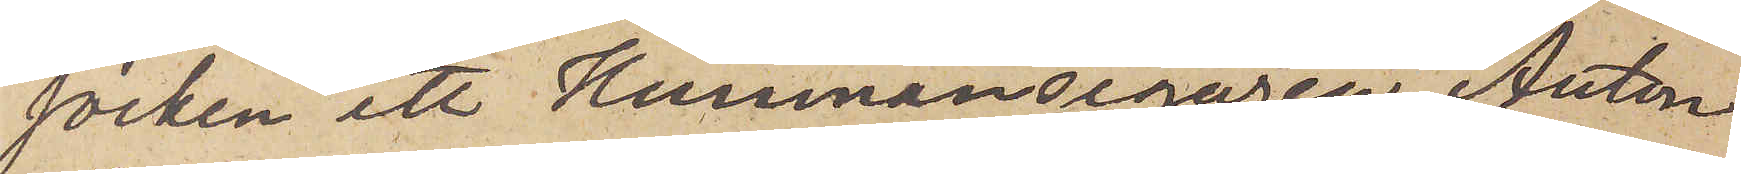socken ett Hemmansegaren Anton
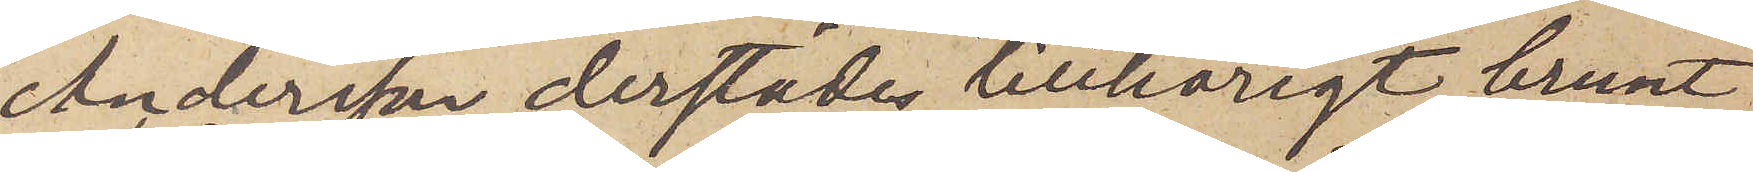Andersson derstädes tillhörigt brunt
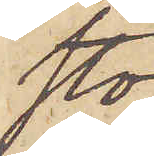sto¬
